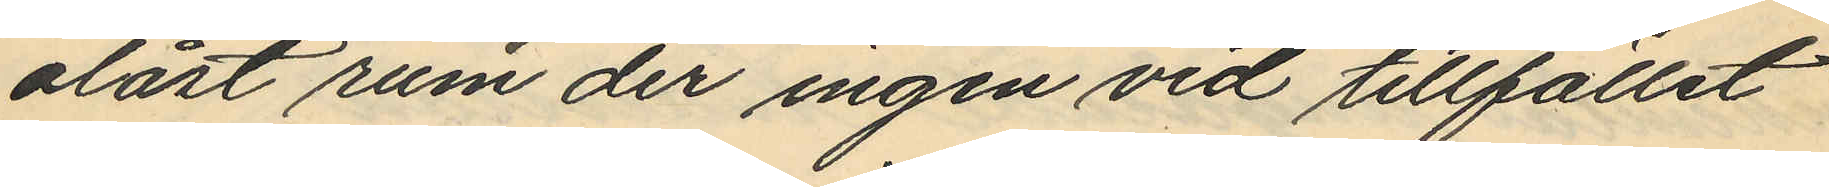olåst rum der ingen vid tillfället
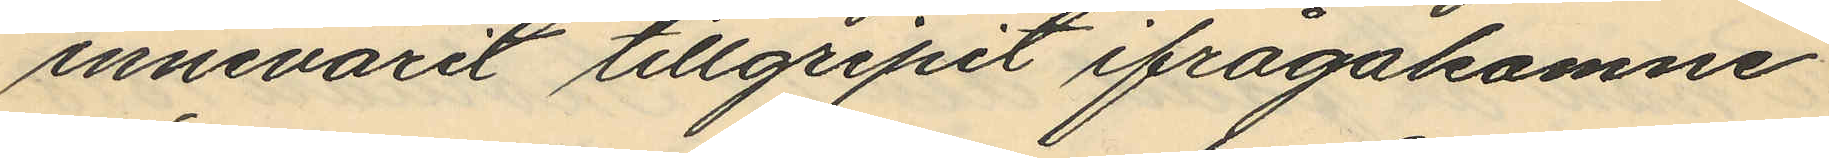innevarit tillgripit ifrågakomne
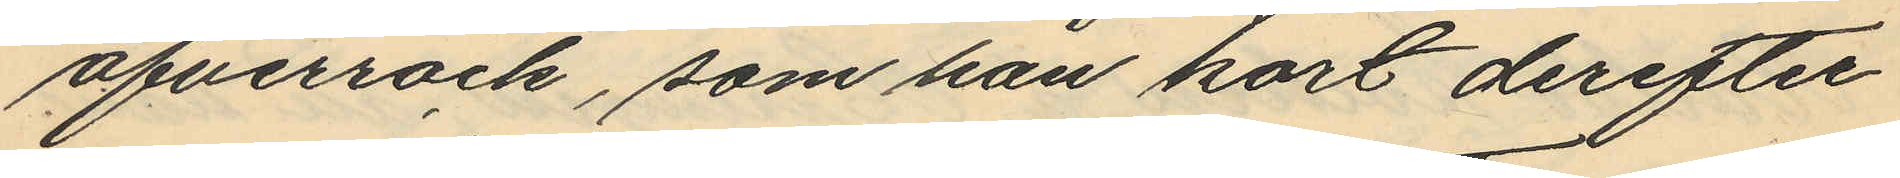öfverrock, som han kort derefter
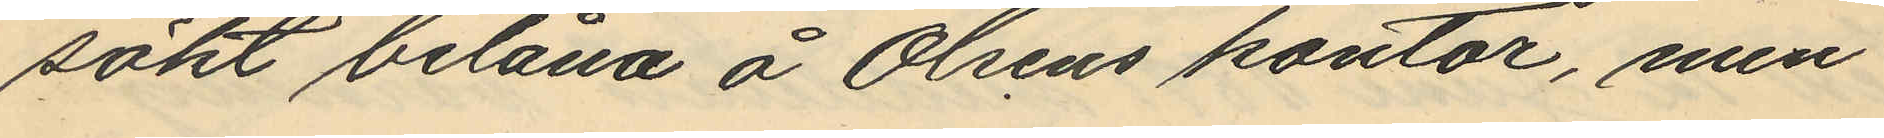sökt belåna å Olséns kontor, men
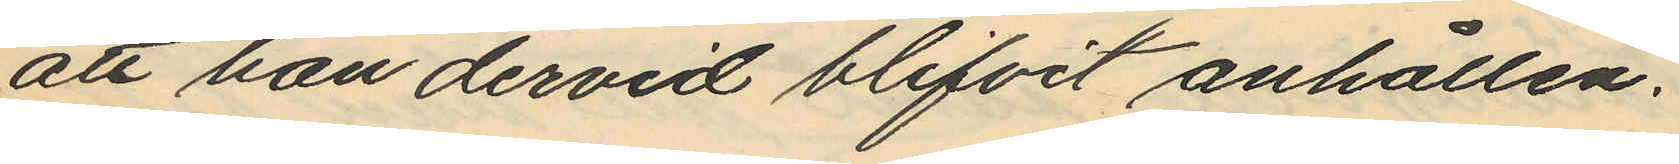att han dervid blifvit anhållen.
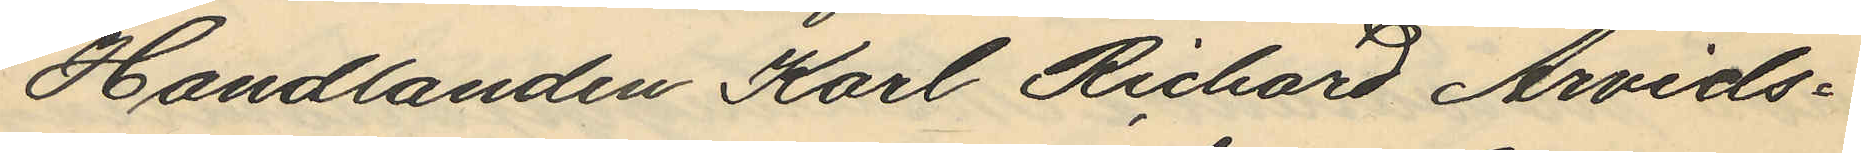Handlanden Karl Richard Arvids¬
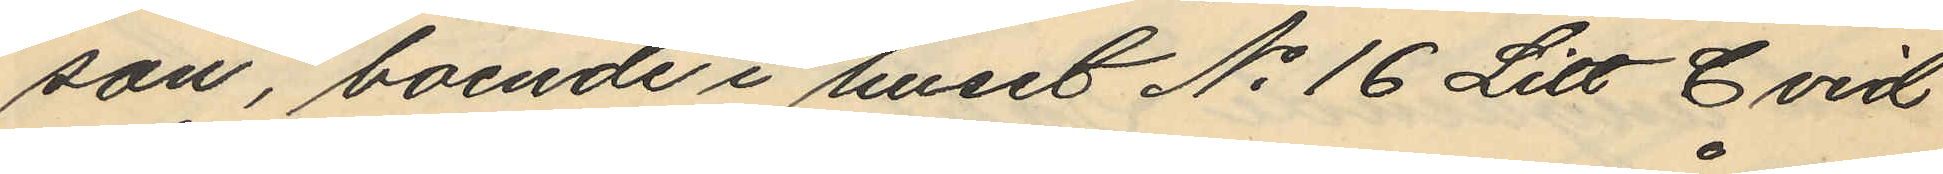son, boende i huset No 16 Litt C vid
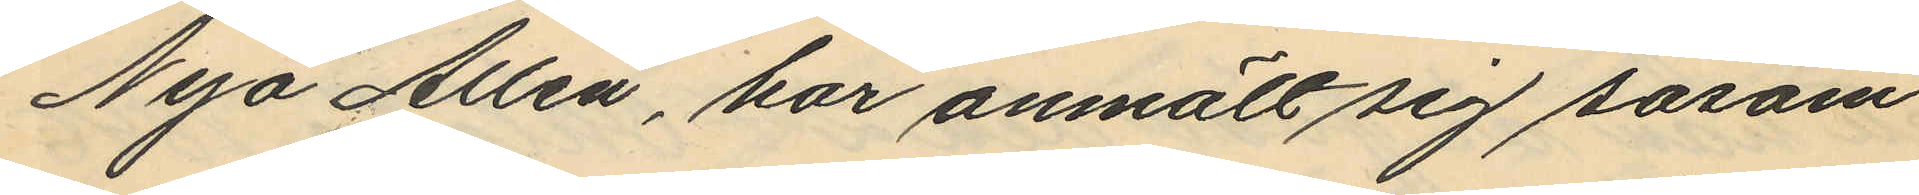Nya Allén, har anmält sig såsom
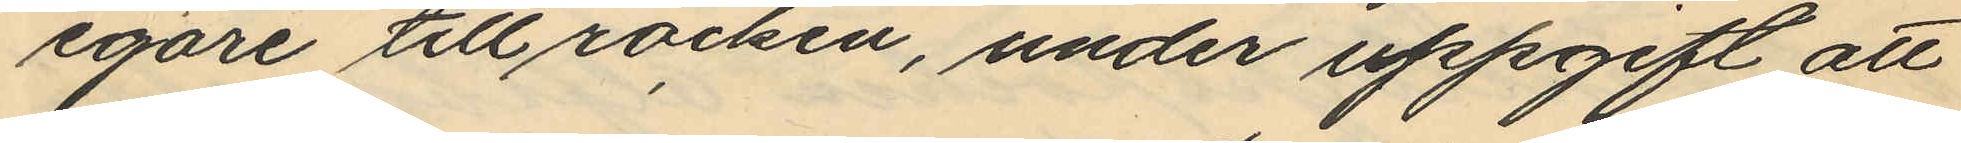egare till rocken, under uppgift att
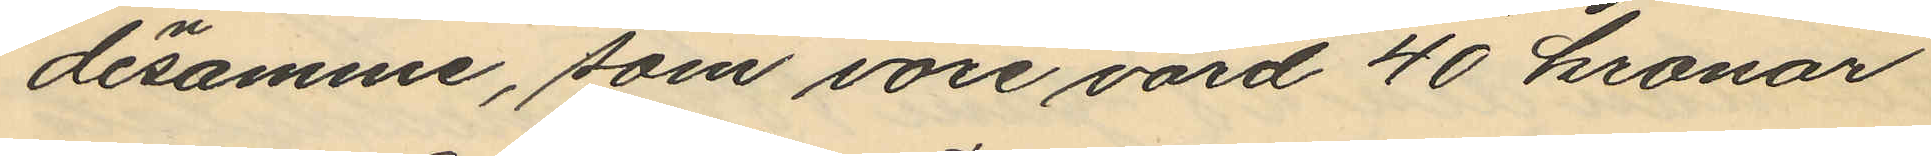densamme, som vore värd 40 kronor
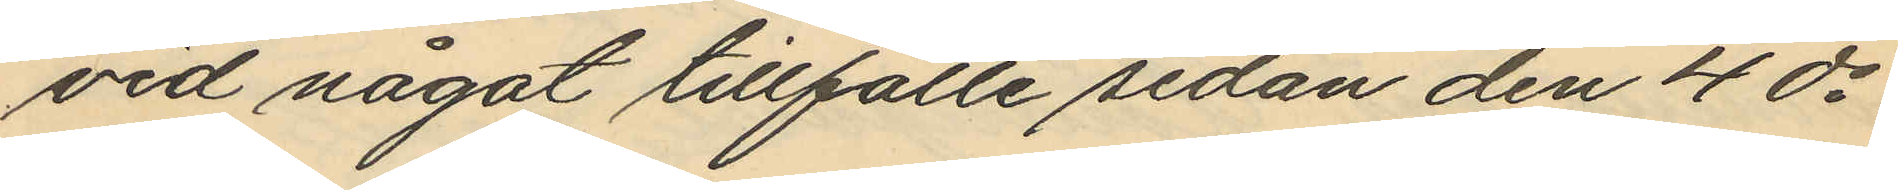vid något tillfälle sedan den 4 ds
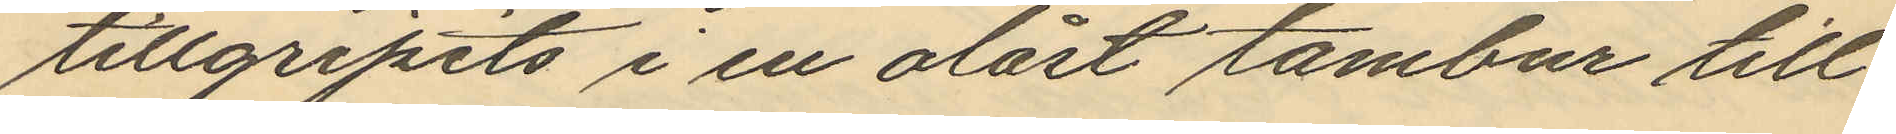tillgripits i en olåst tambur till
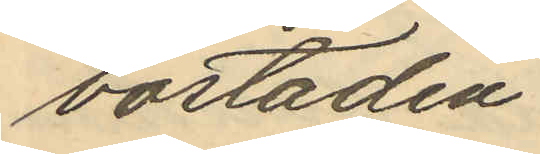bostaden.
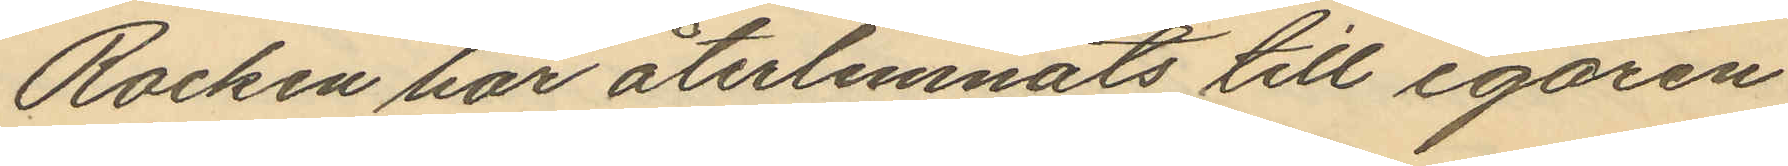Rocken har återlemnats till egaren.
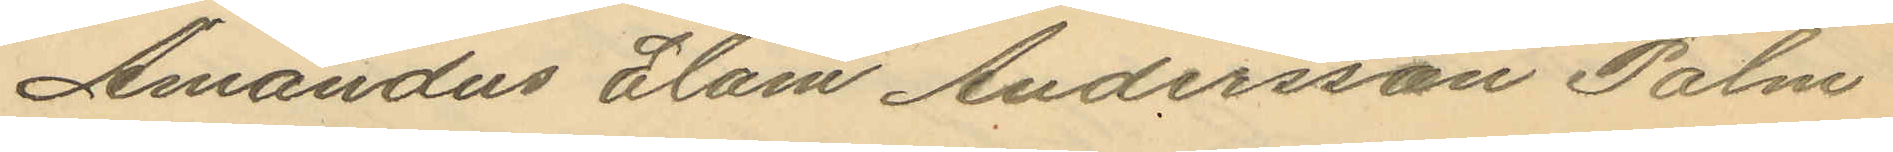Amandus Elam Andersson Palm
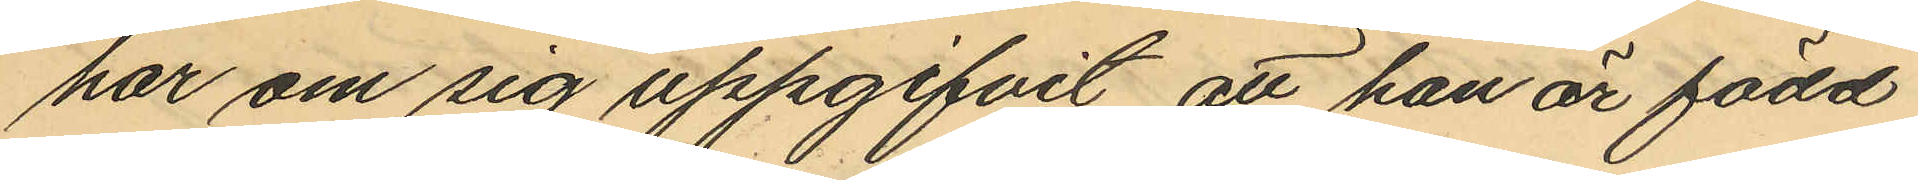har om sig uppgifvit, att han är född
